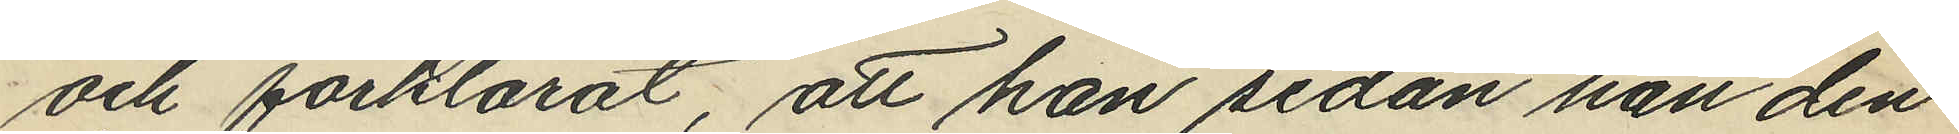och förklarat, att han sedan han den
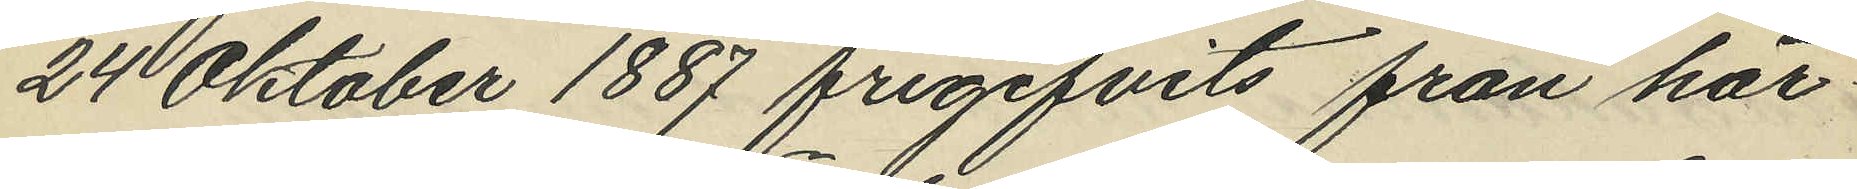24 Oktober 1887 frigifvits från här¬
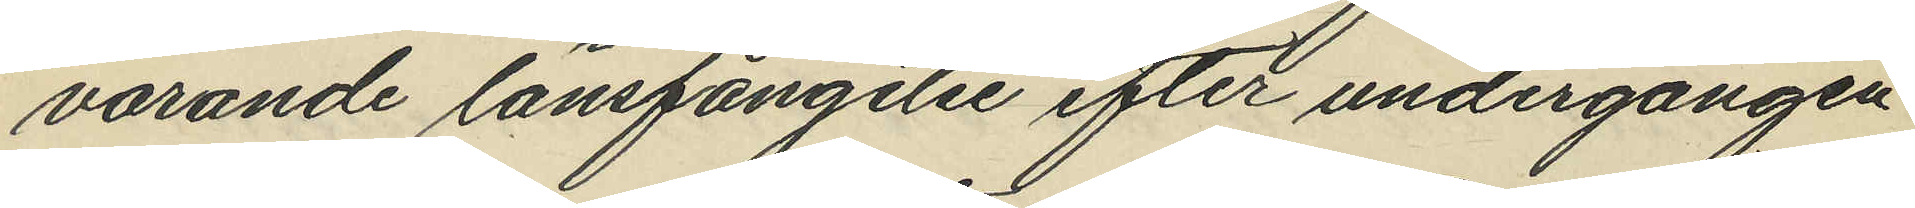varande länsfängelse efter undergången
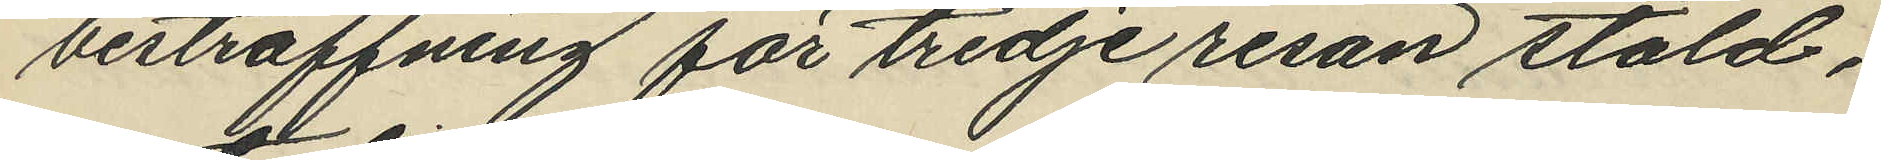bestraffning för tredje resan stöld,
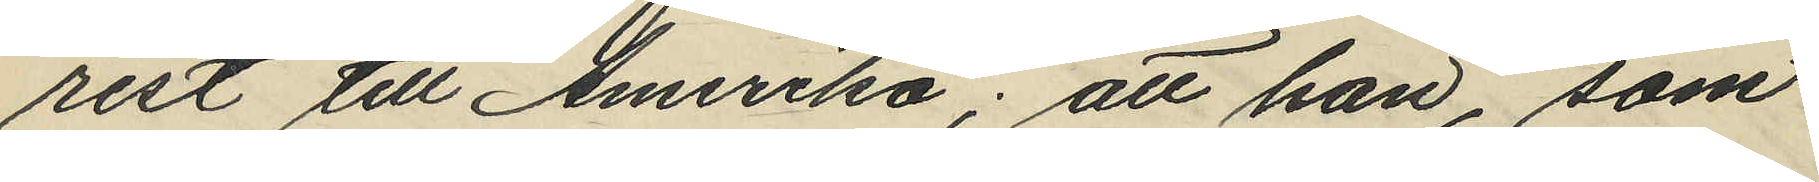rest till Amerika; att han, som
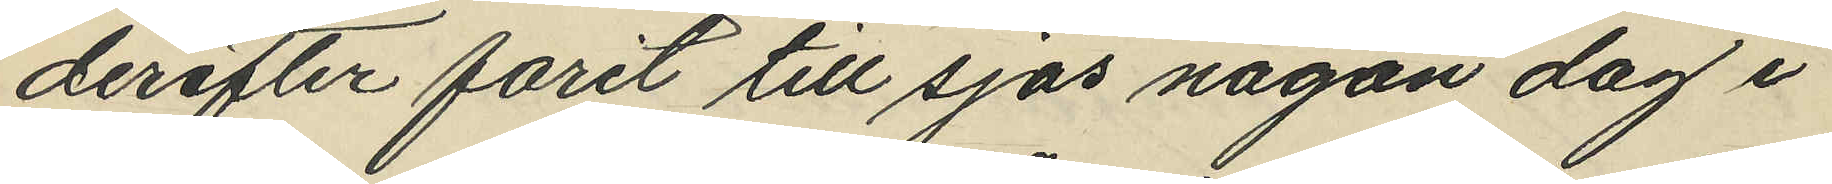derefter förit till sjös någon dag i
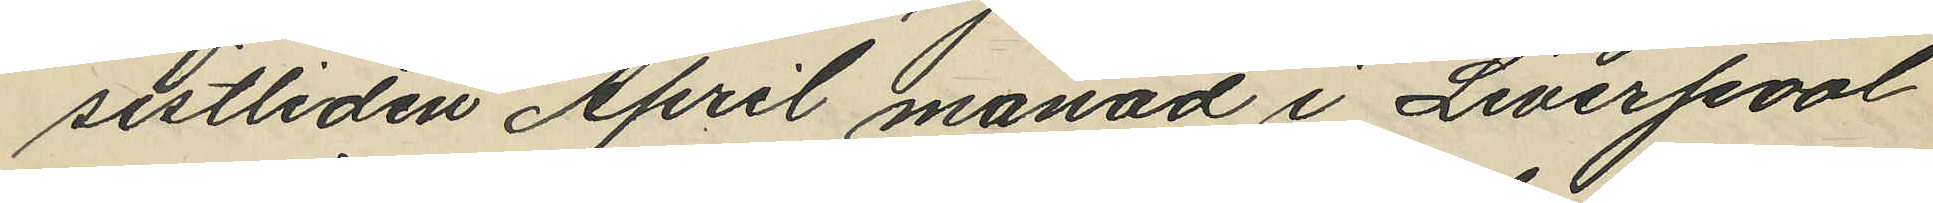sistliden April månad i Liverpool
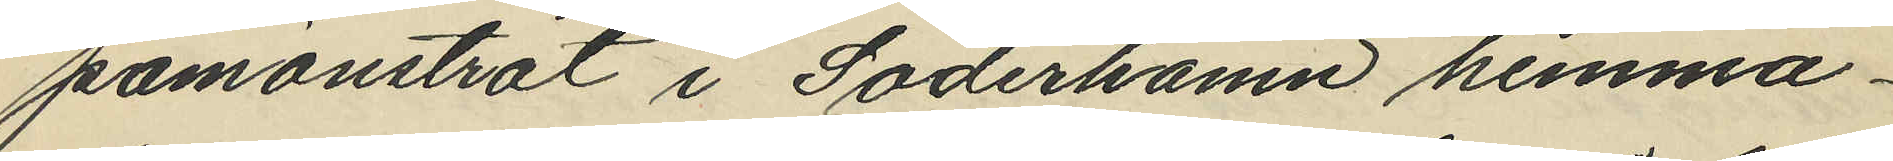påmönstrat i Söderhamn hemma¬
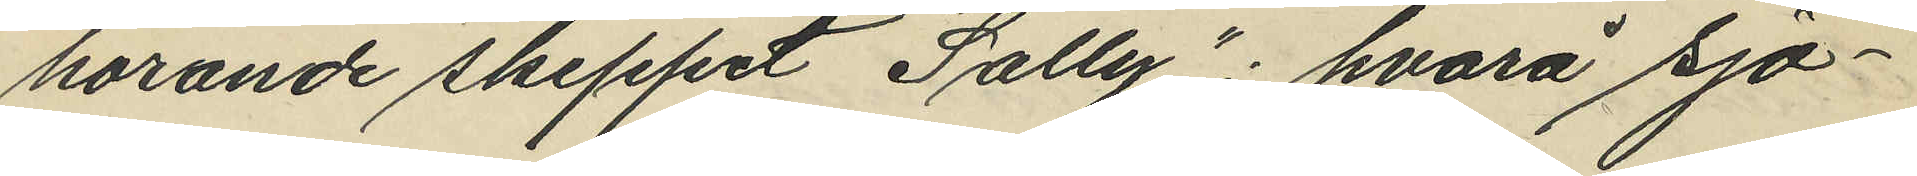hörande skeppet "Sally"; hvarå sjö¬
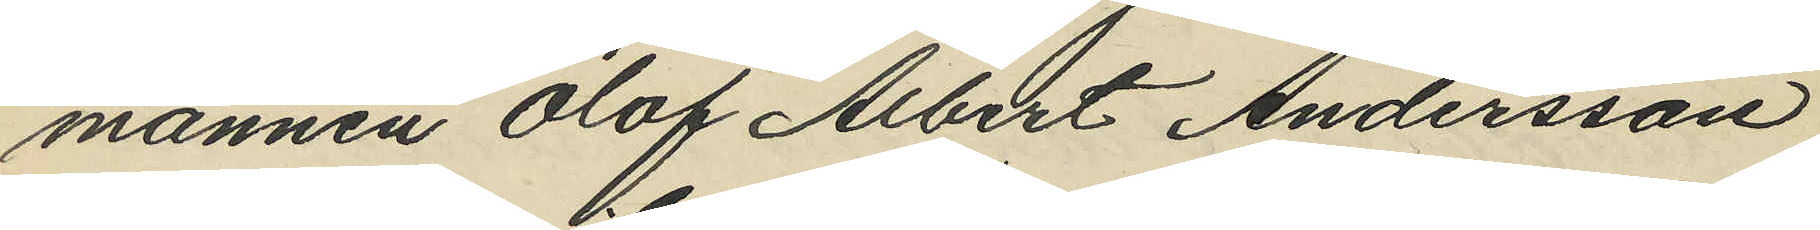mannen Olof Albert Andersson
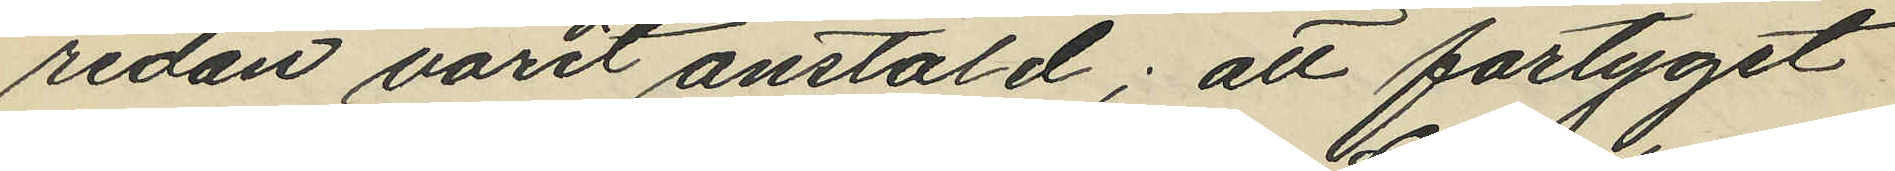redan varit anstäld; att fartyget
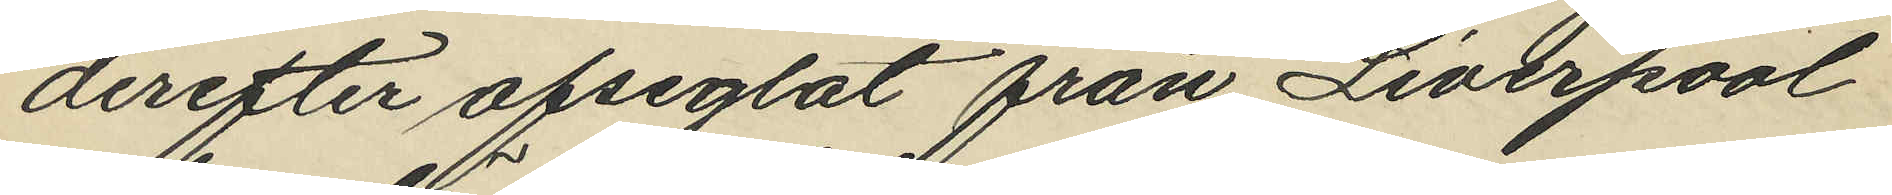derefter afseglat från Liverpool
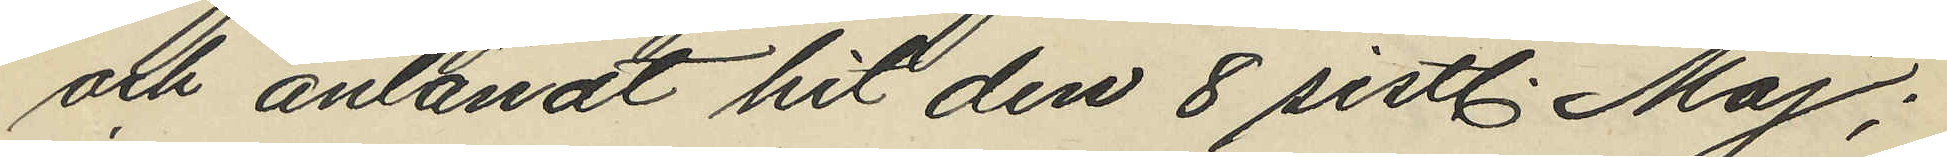och anländt hit den 8 sistl. Maj;
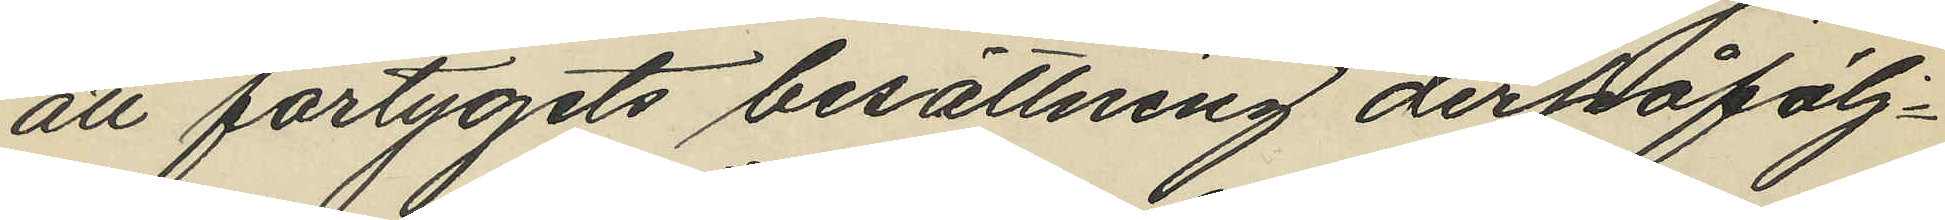att fartygets besättning derpåfölj¬
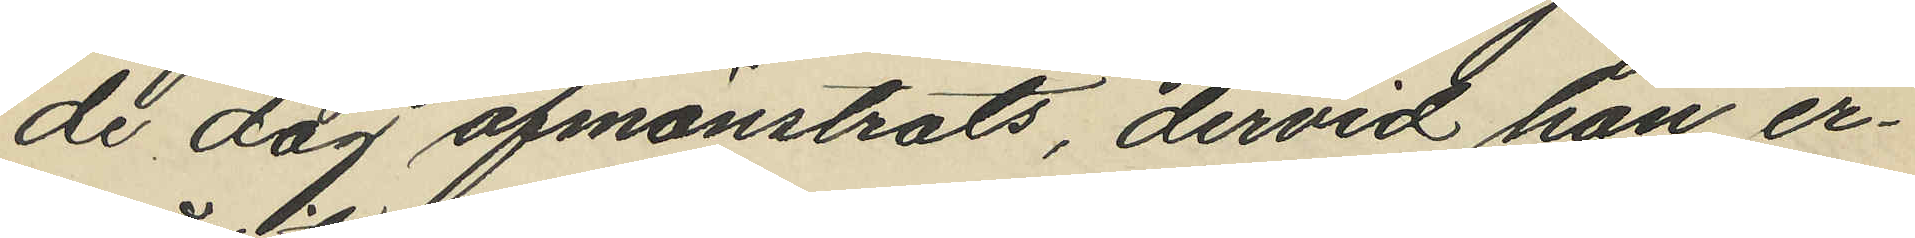de dag afmönstrats, dervid han er¬
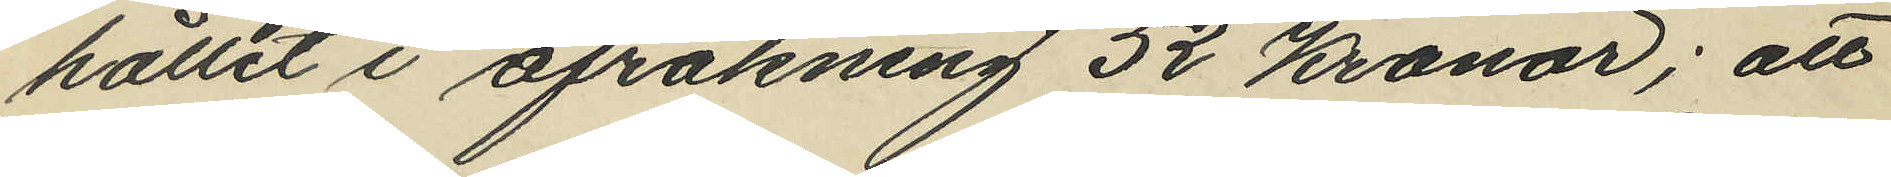hållit i afräkning 52 kronor; att
